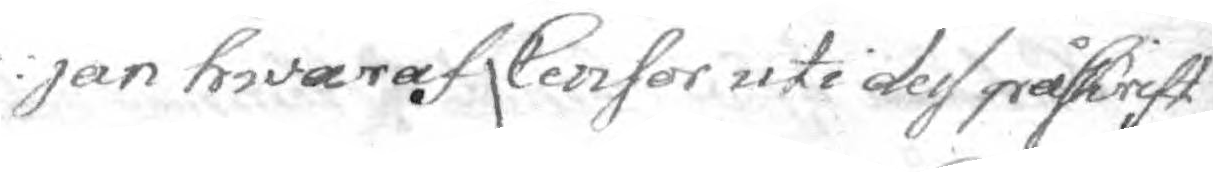jan hwaraf Censor uti dess påskrift
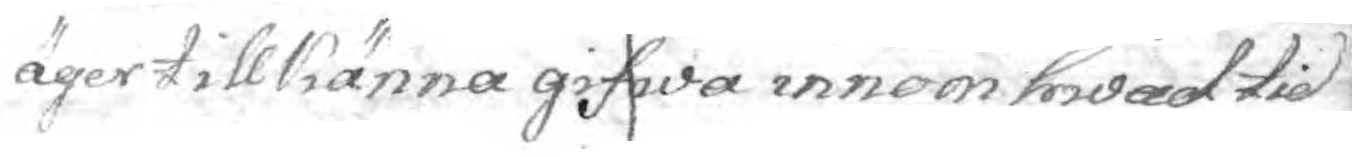äger tillkänna gifwa innom hwad tid
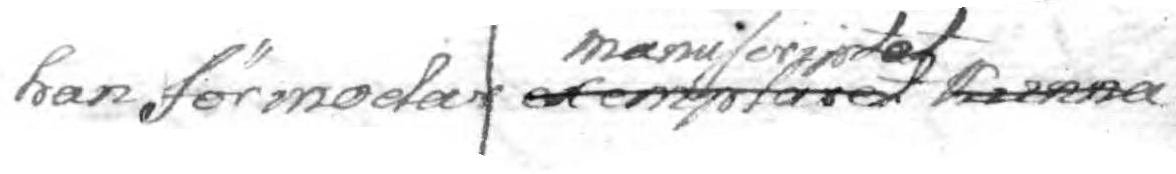han förmodar manuscriptet exemplaret kunna
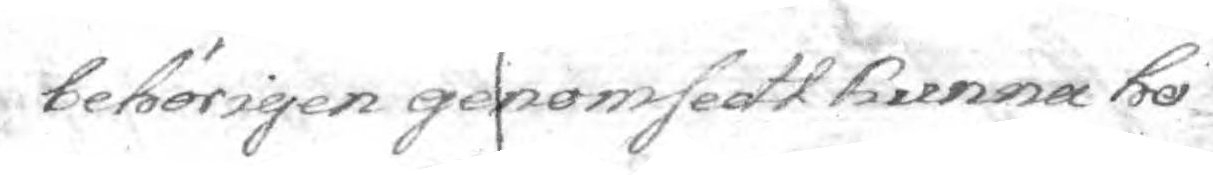behörigen genomsedt kunna ho¬
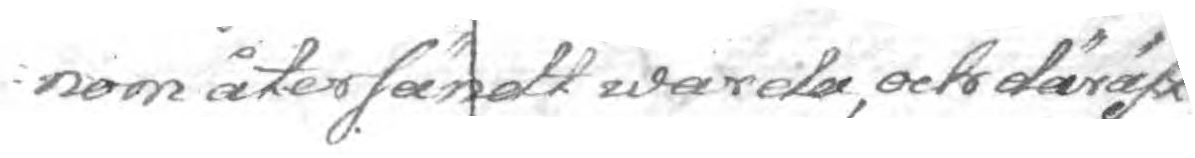nom återsändt wardam och däräst
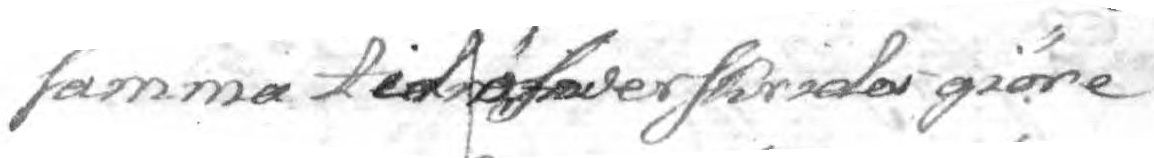samma tid öfwerskrida giöre
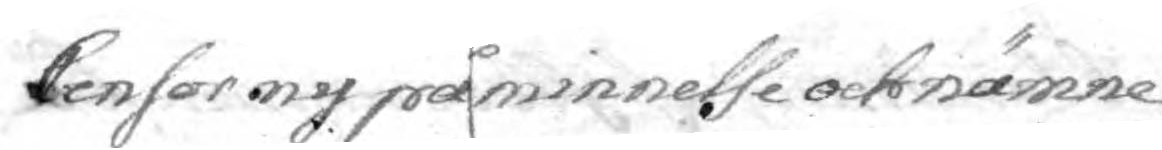Censor ny påminnelse och nämne
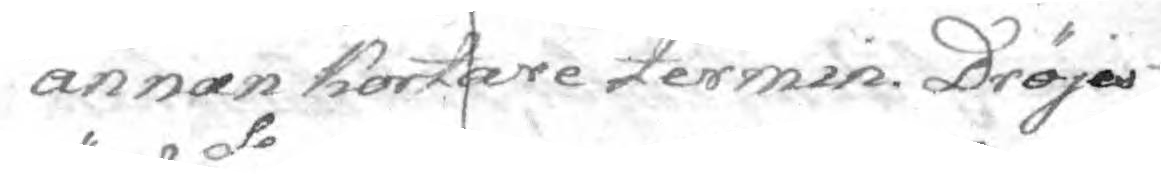annan Kortare termin. Dröjes
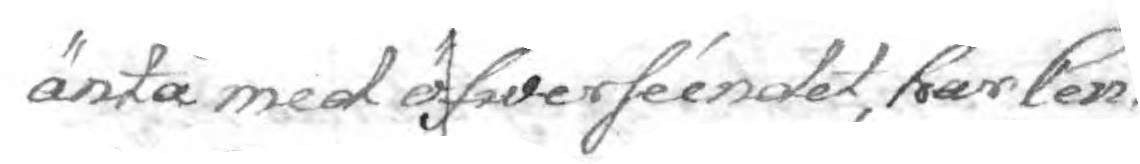äntå med öfwerséendet, har Cen¬
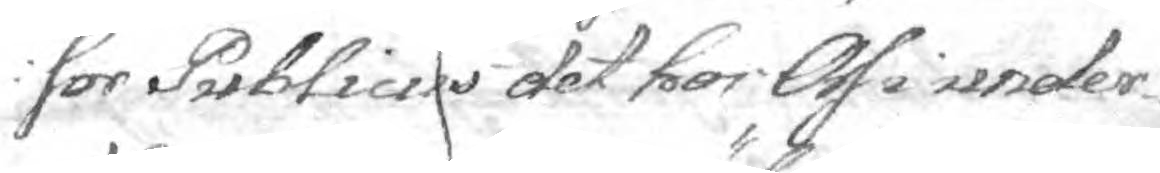sor Publicus det hos Oss i under¬
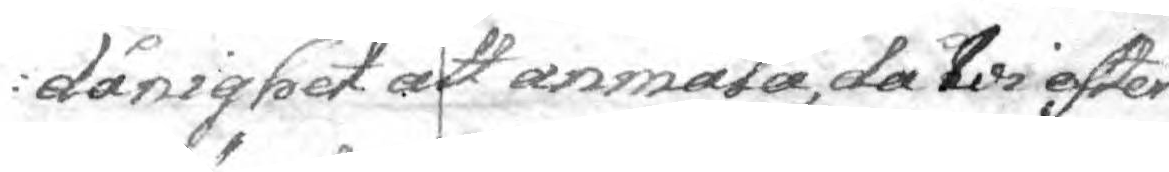dånighet att anmärka, då Wi efter
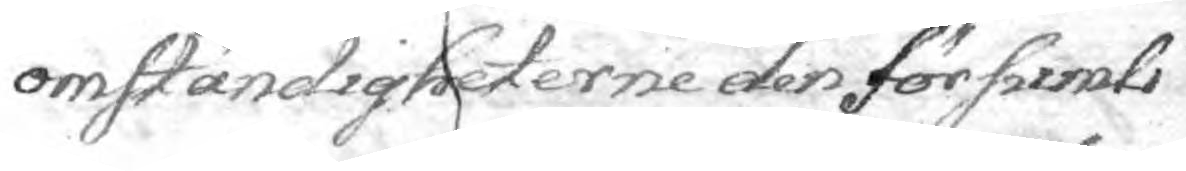omständigheterne den försumli¬
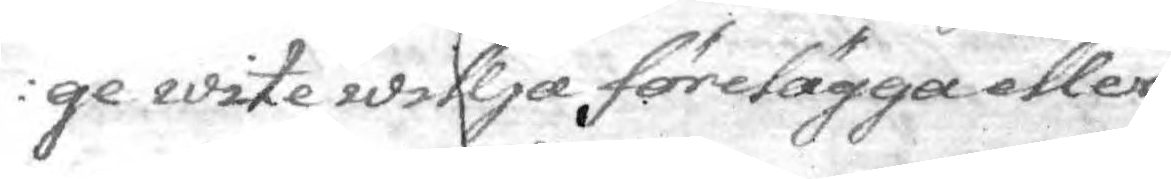ge wite willja förelägga eller
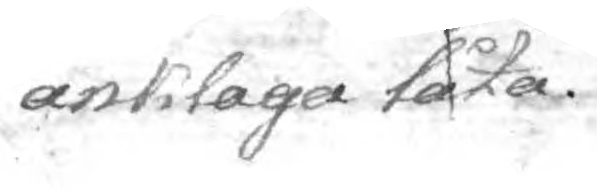anklaga låta.
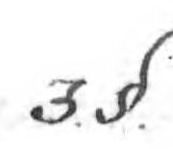3. §.
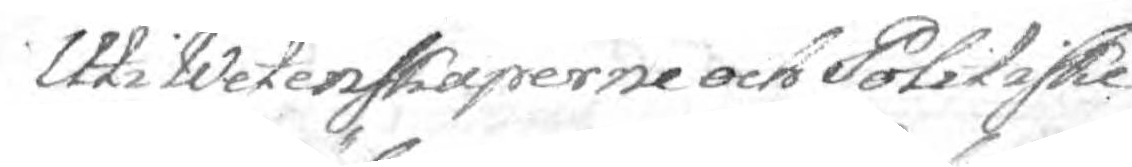Uti Wetenskaperne och Politiske
